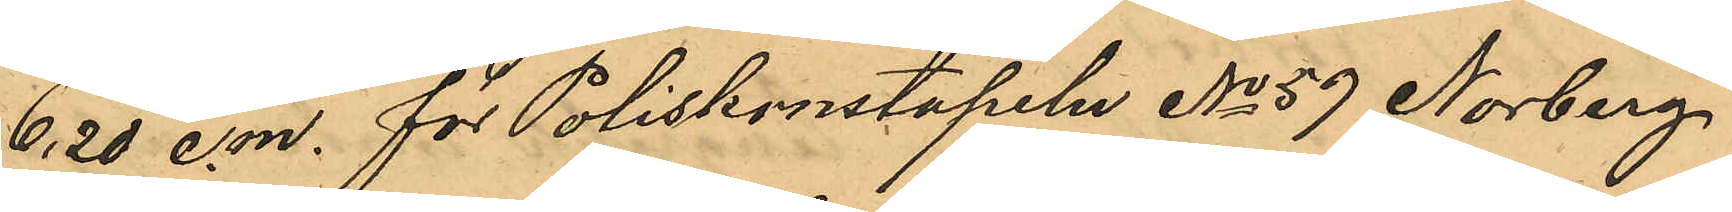6,20 e.m. för Poliskonstapeln No 59 Norberg
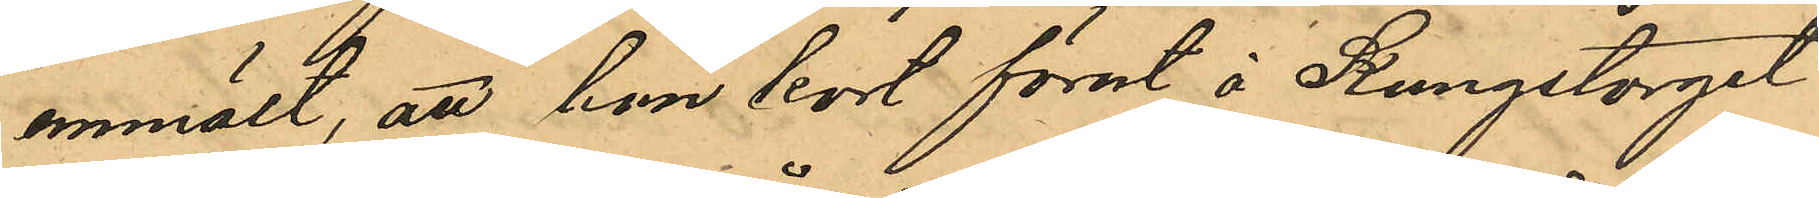anmält, att han kort förut å Kungstorget
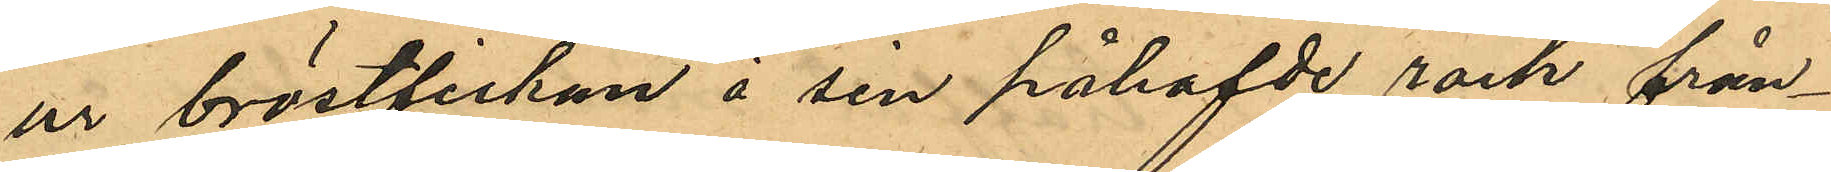ur bröstfickan å sin påhafvde rock från¬
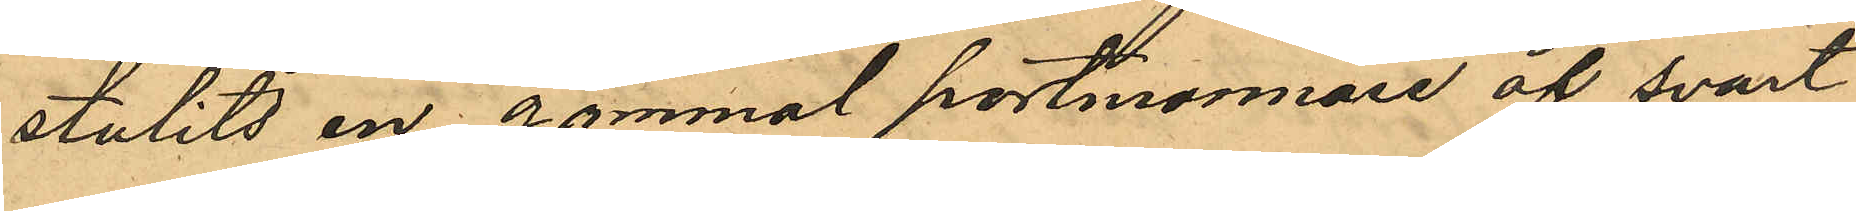stulits en gammal portmonnaie af svart
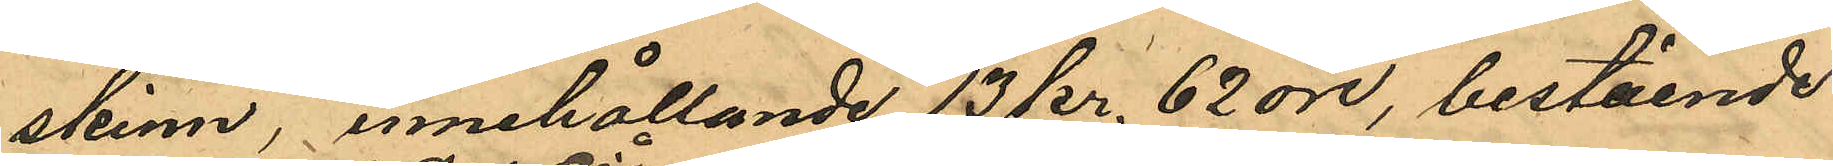skinn, innehållande 13 kr. 62 öre, bestående
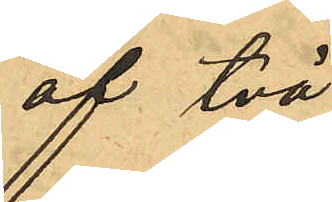af två
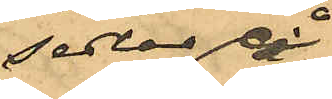sedlar på
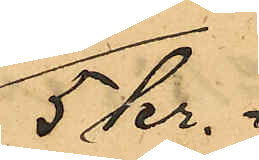5 Kr.
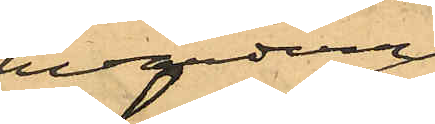hvardera,
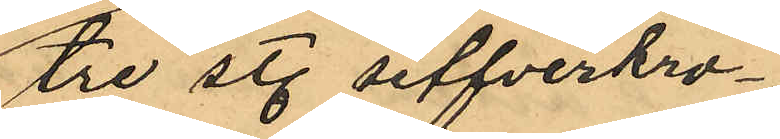tre st. silfverkro¬
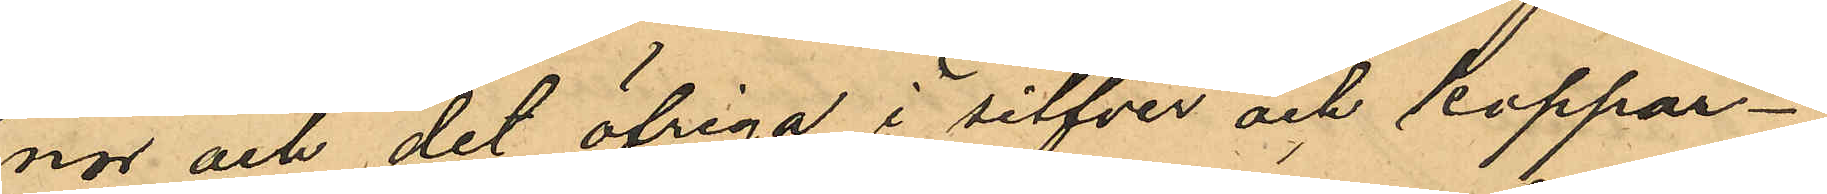nor och det öfriga i silfver och koppar¬
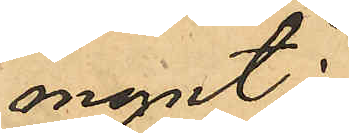mynt:
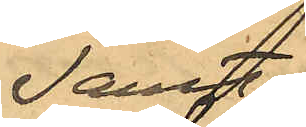Jamte
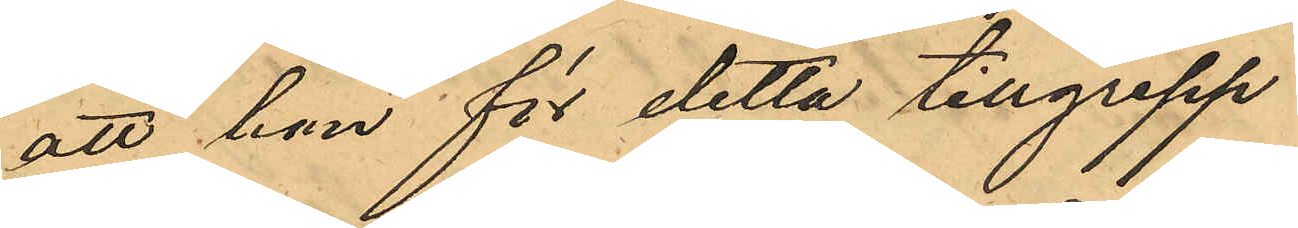att hon för detta tillgrepp
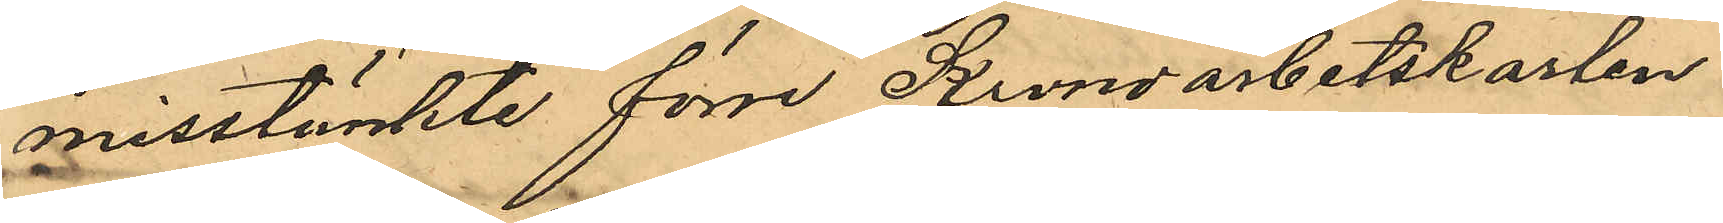misstänkte förre Krondarbetskarlen
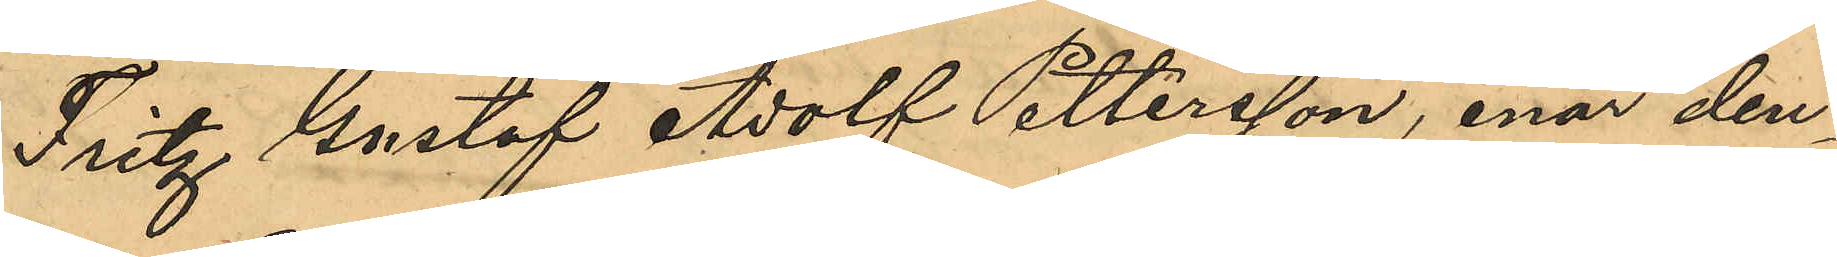Fritz Gustaf Adolf Pettersson, enär den¬
